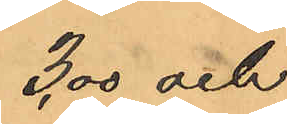3,00 och
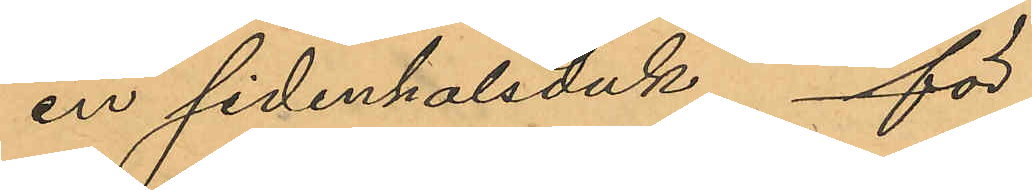en sidenhalsduk för
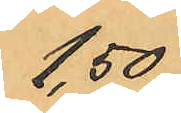1,50
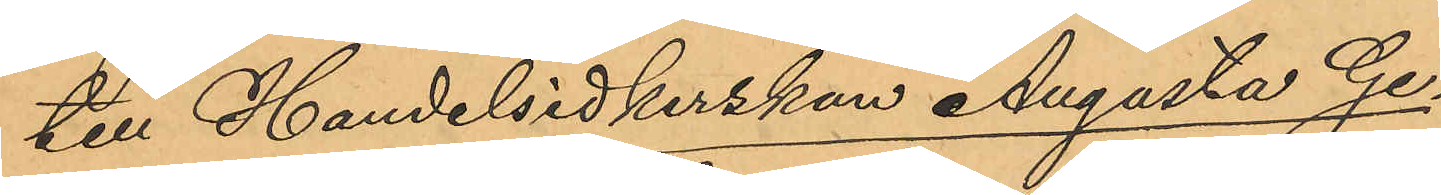till Handelsidkerskan Augusta Ge¬
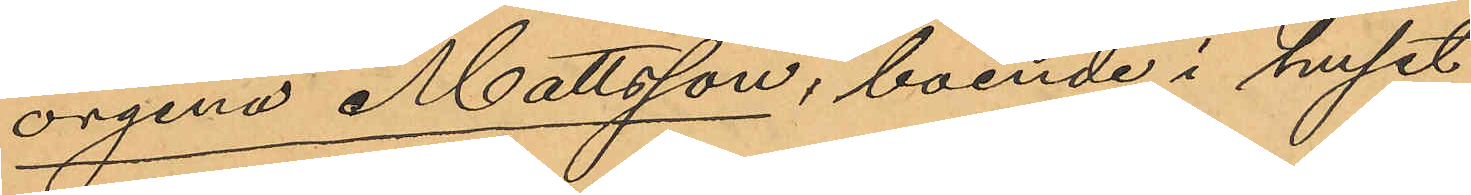orgina Mattsson, boende i huset
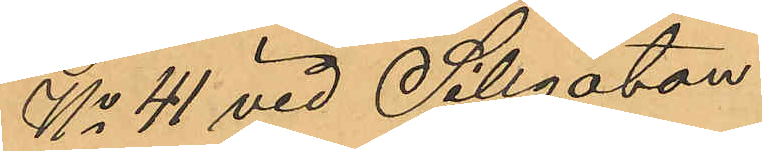No 41 vid Sillgatan:
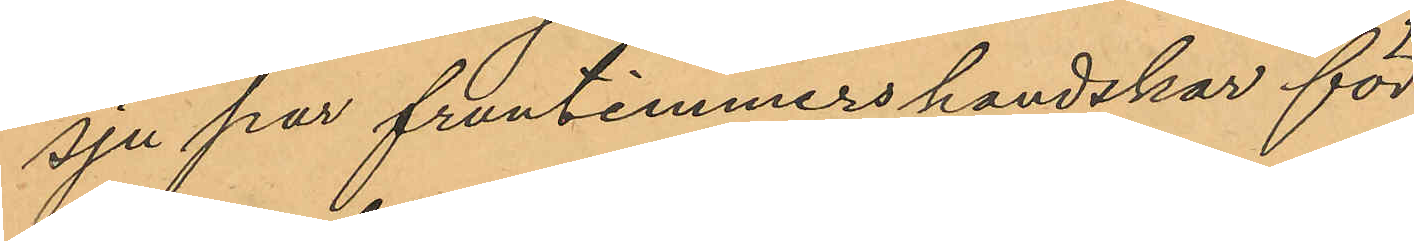sju par fruntimmershandskar för
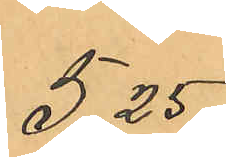5,25
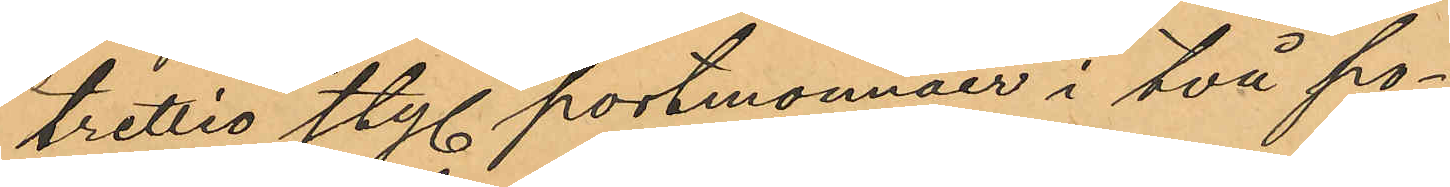trettio sty. portmonnäer i två po¬
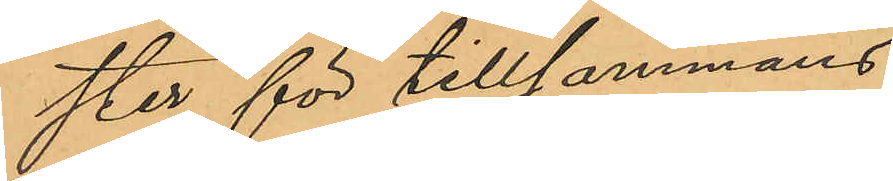ster för tillsammans
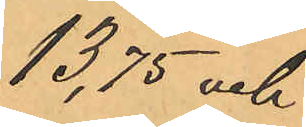13,75 och
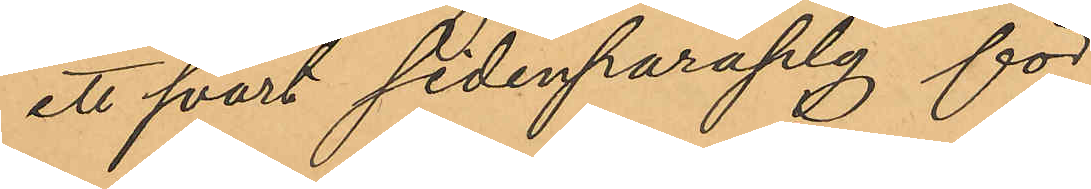ett svart sidenparaply för
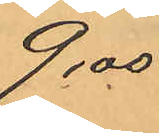9,00
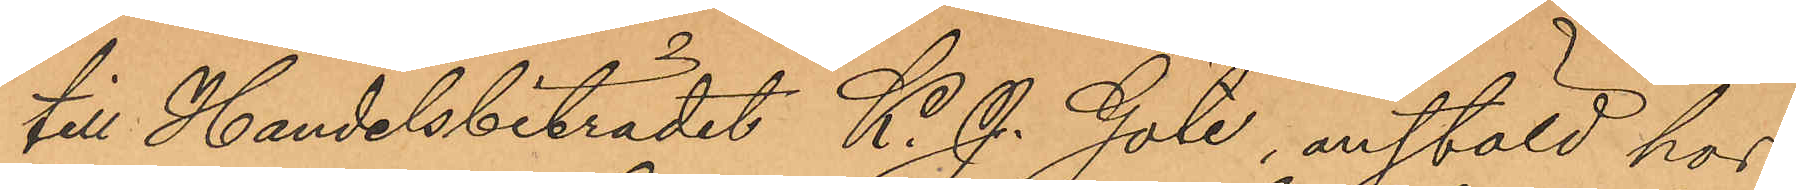till Handelsbiträdet K. J. Göte, anstäld hos
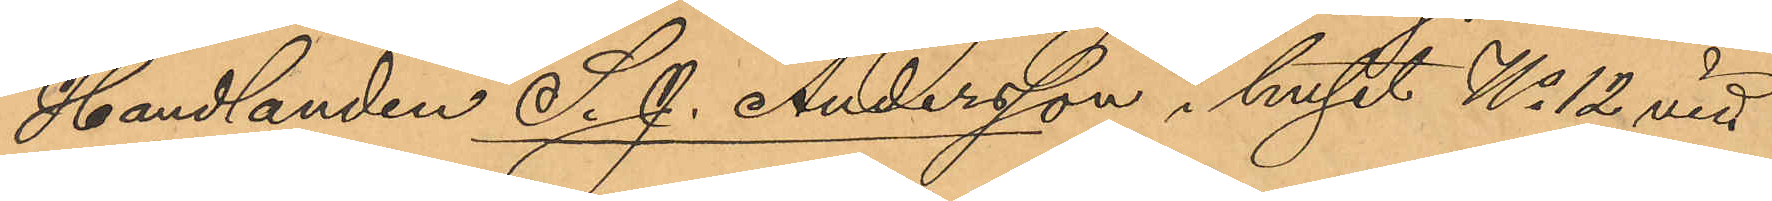Handlanden S. J. Andersson i huset No 12 vid
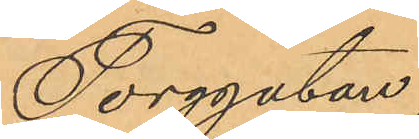Torggatan,
